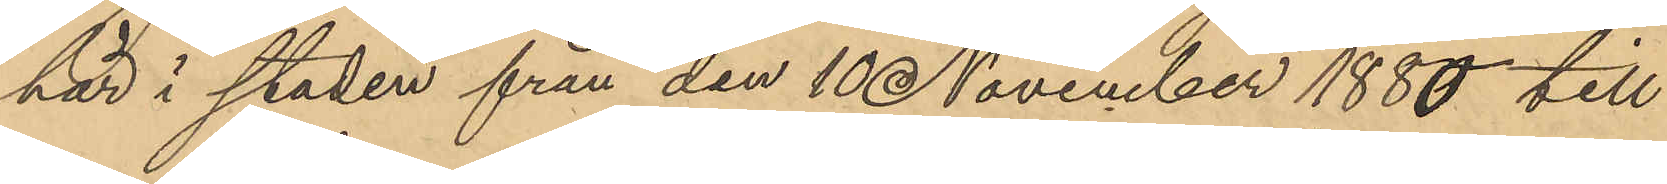här i staden från den 10 November 1880 till
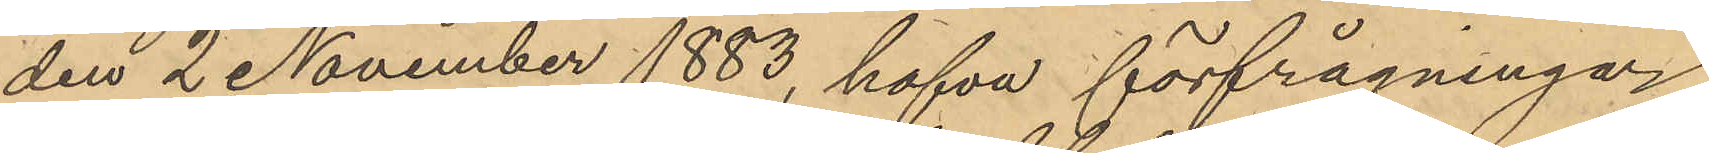den 2 November 1883, hafva förfrågningar
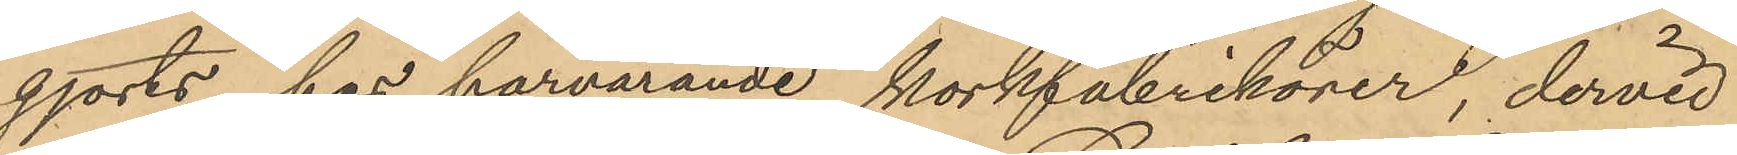gjorts hos härvarande korkfabrikörer, dervid
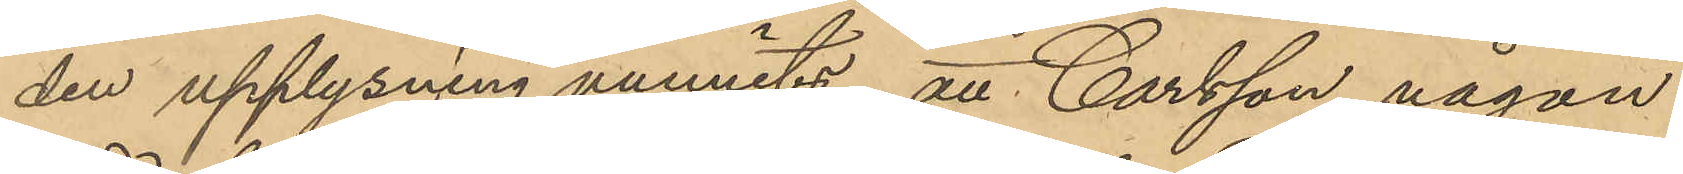den upplysning vunnits att Carlsson någon
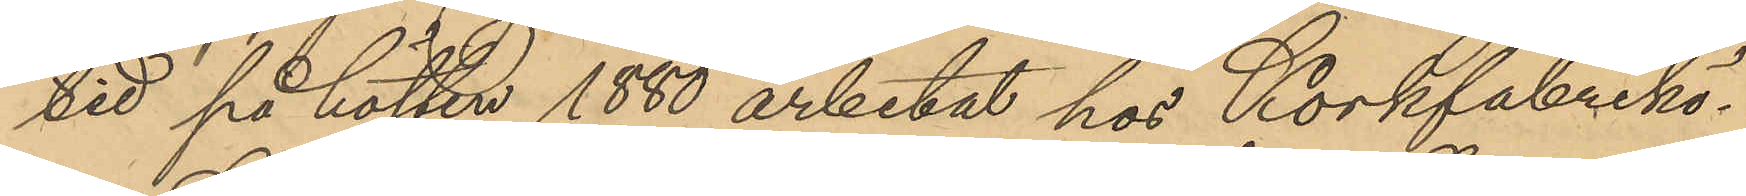tid på hösten 1880 arbetat hos Korkfabrikö¬
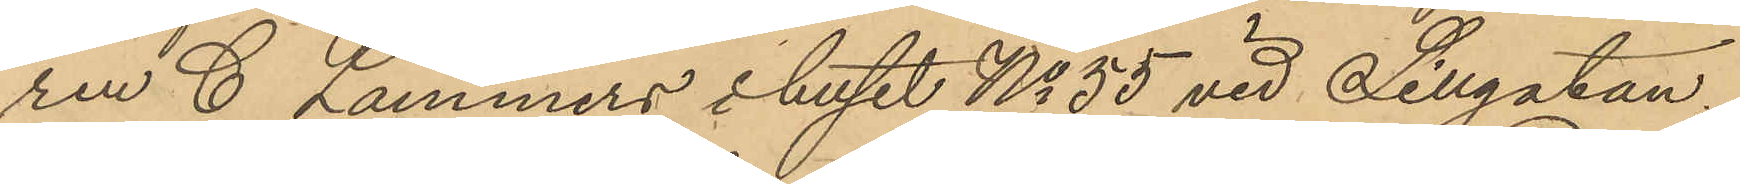ren C Lammers i huset No 55 vid Sillgatan
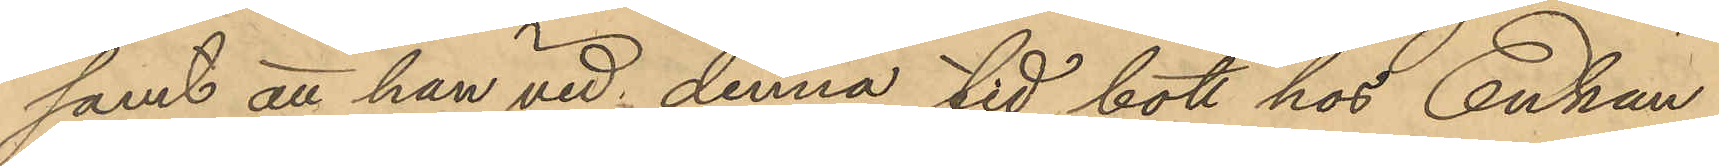samt att han vid denna tid bott hos Enkan
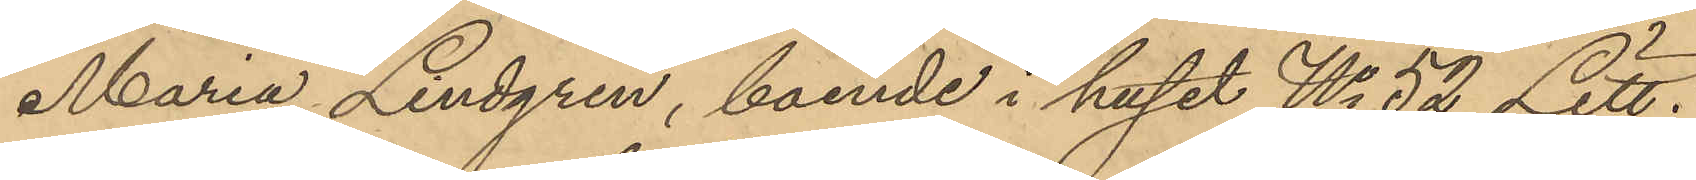Maria Lindgren, boende i huset No 52 Litt.
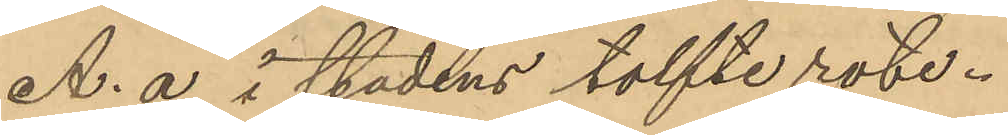A. a i stadens tolfte rote.
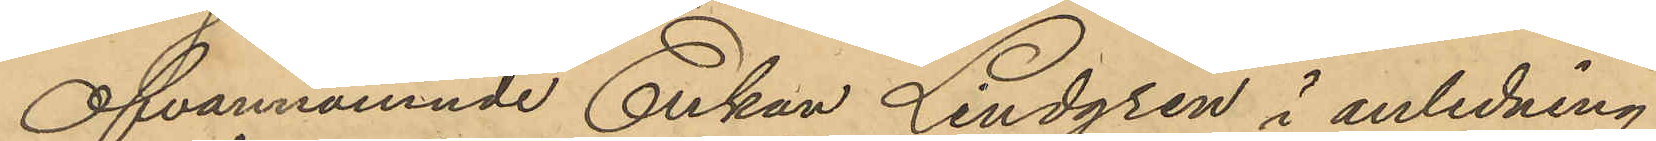Ofvannämnde Enkan Lindgren i anledning
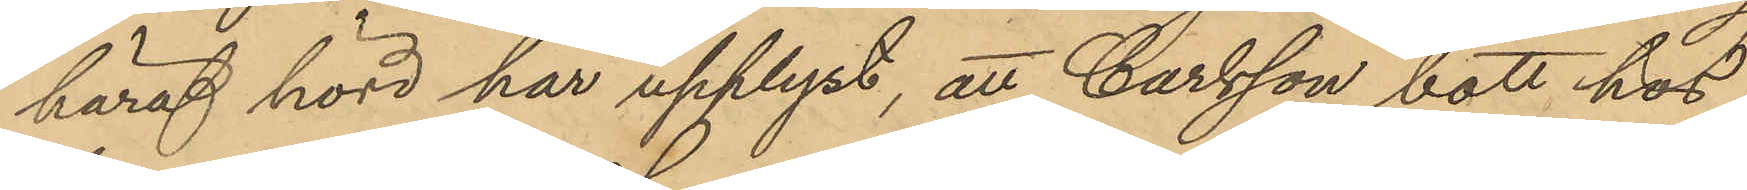häraf hörd har upplyst, att Carlsson bott hos
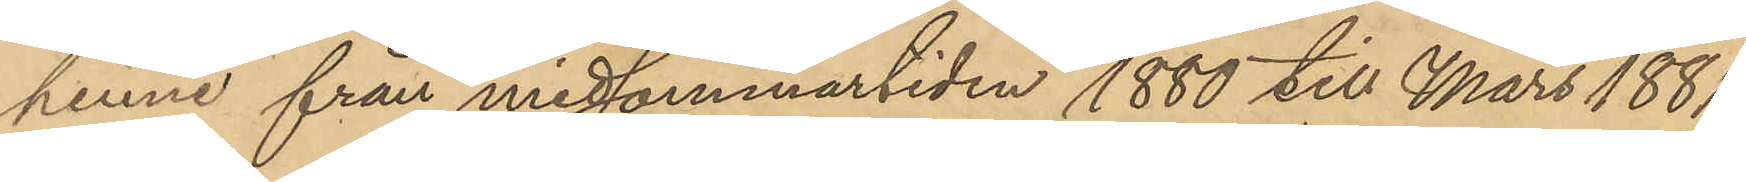henne från midsommartiden 1880 till Mars 1881
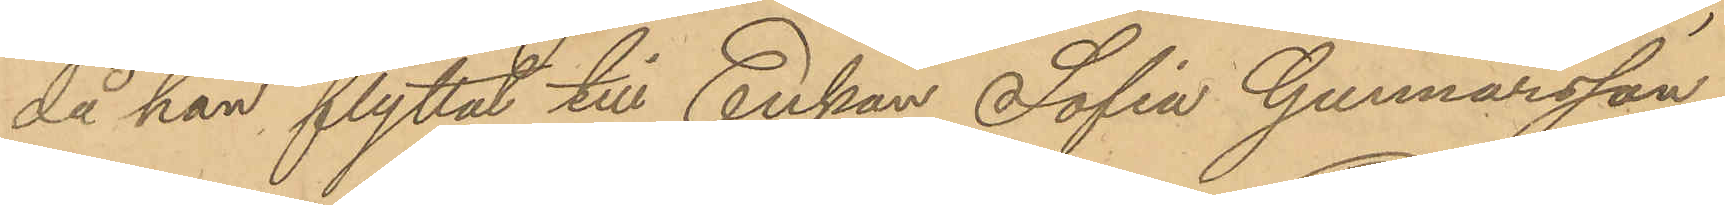då han flyttat till Enkan Sofia Gunnarsson,
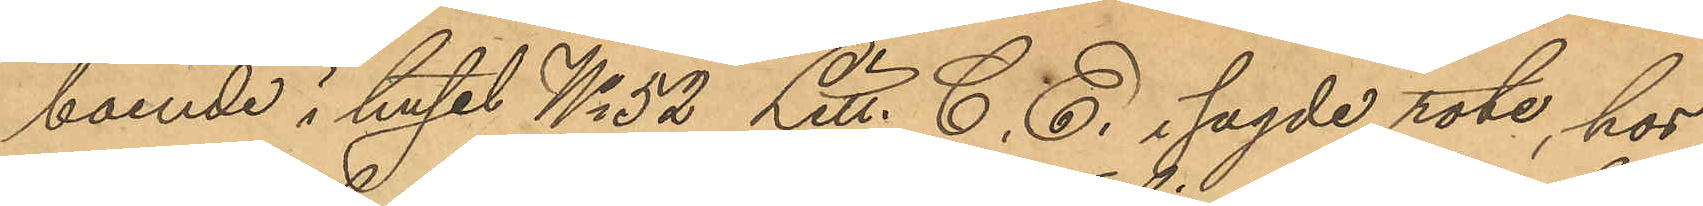boende i huset No 52 Litt. C. E. i sagde rote, hos
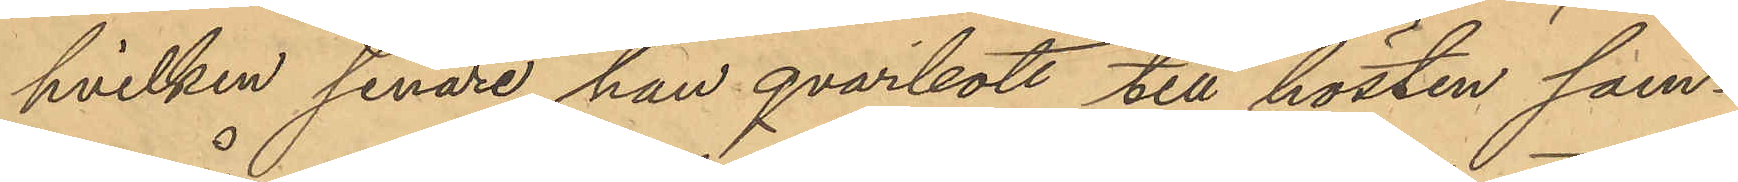hvilken senare han qvarbott till hösten sam¬
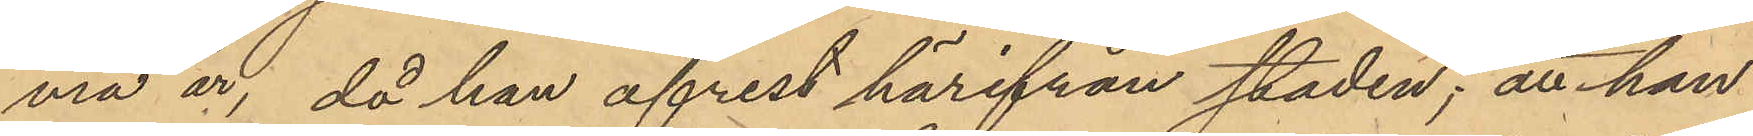ma år; då han afrest härifrån staden; att han
